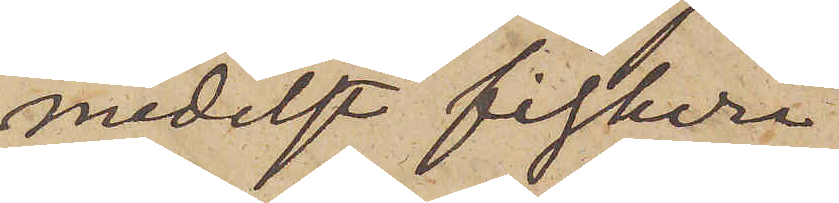medelst fiskeri
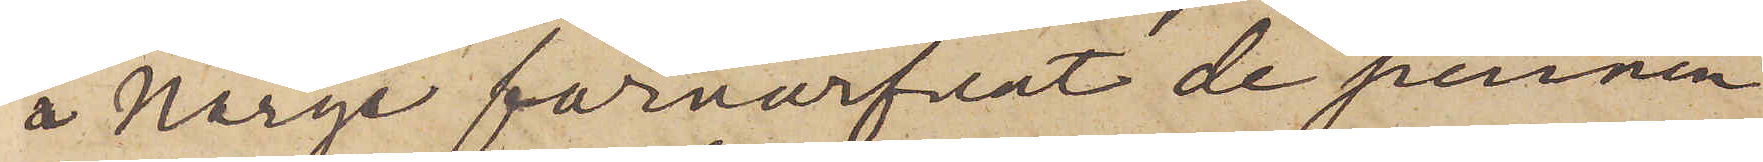i Norge förvärfvat de pennin¬
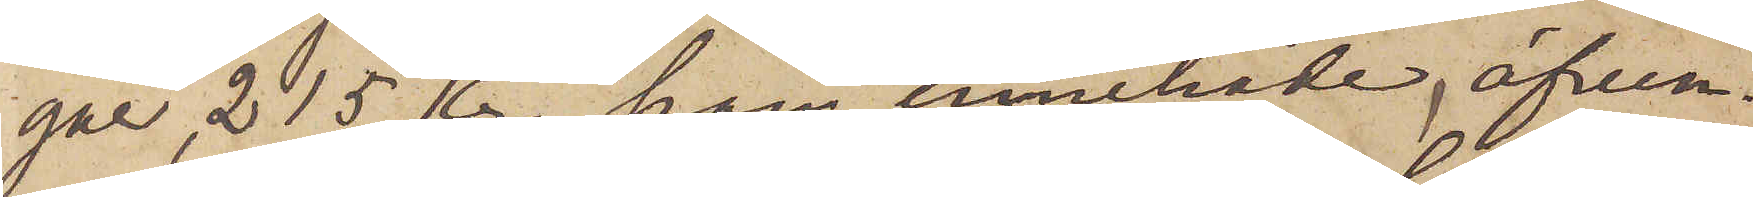gar, 215 kr han innehade, äfven¬
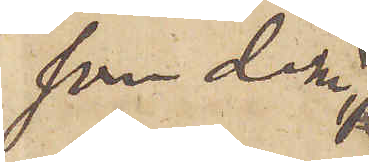som dem
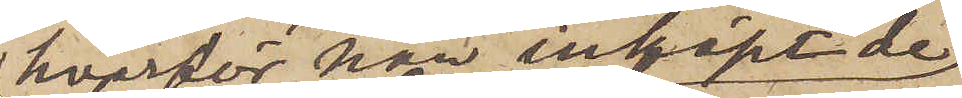hvarför han inköpt de
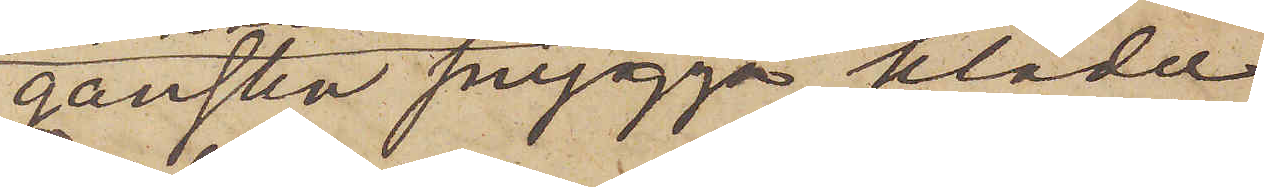ganska snygga kläder
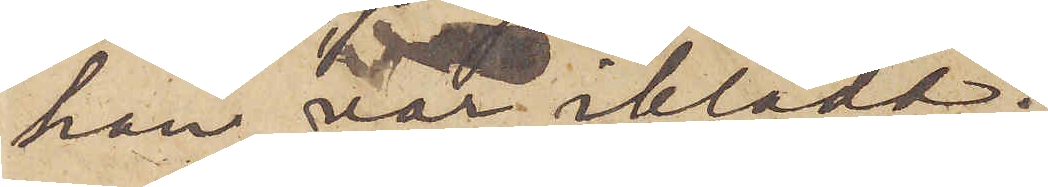han var iklädd.
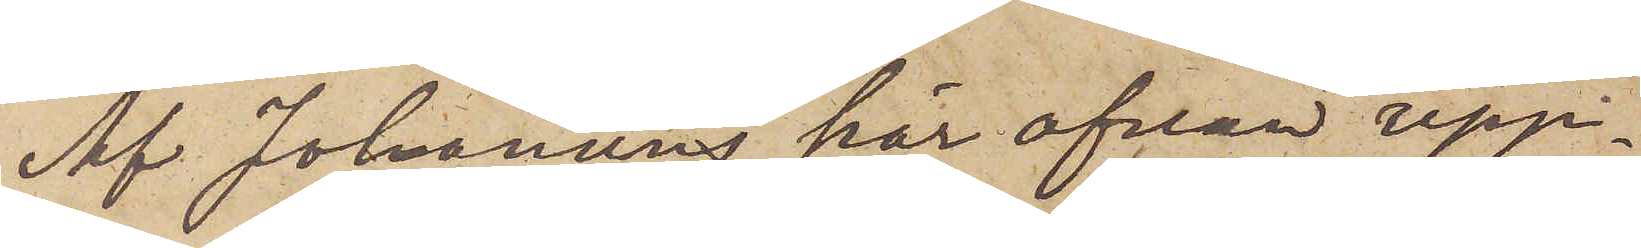Af Johansens här ofvan upp¬
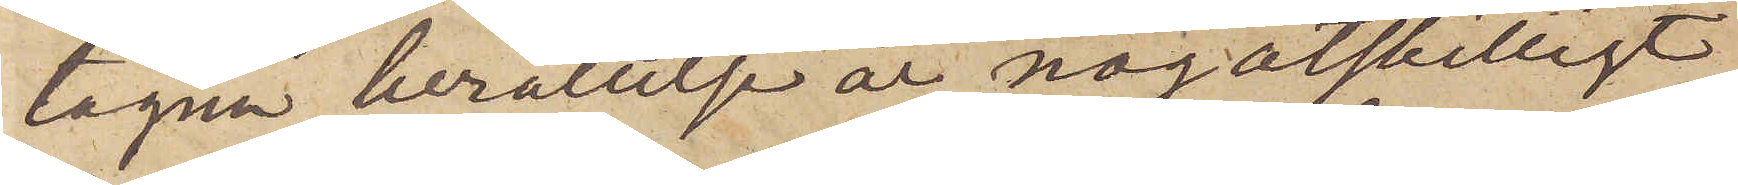tagna berättelse är nog åtskilligt
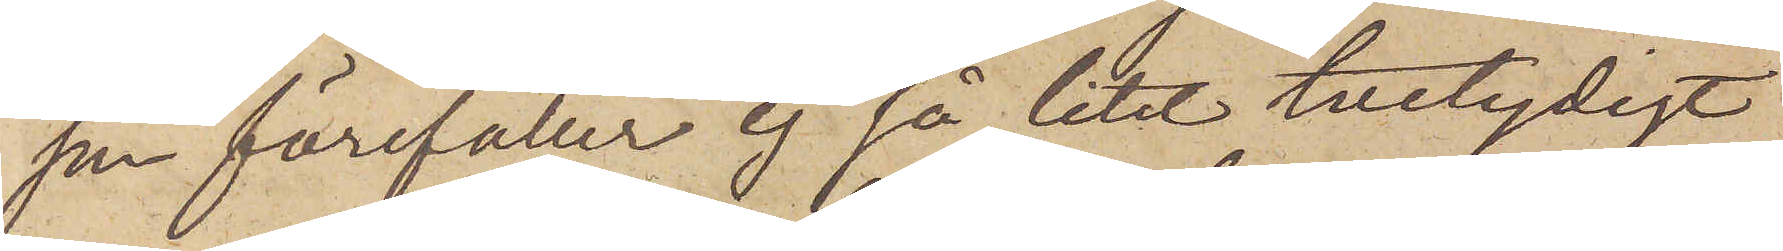som förefaller ej så litet tvetydigt
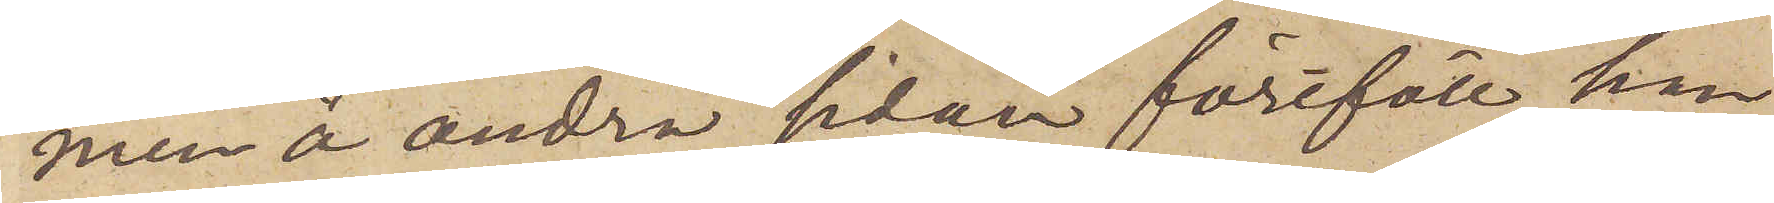men å andra sidan föreföll han
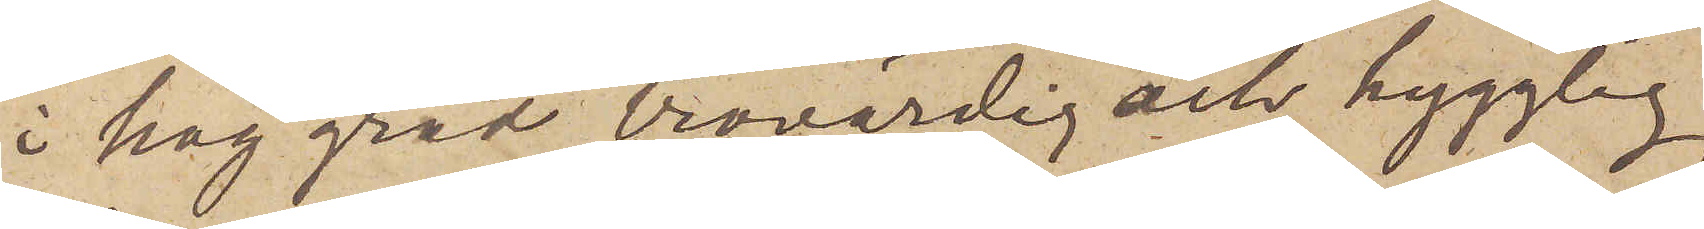i hög grad trovärdig och hygglig,
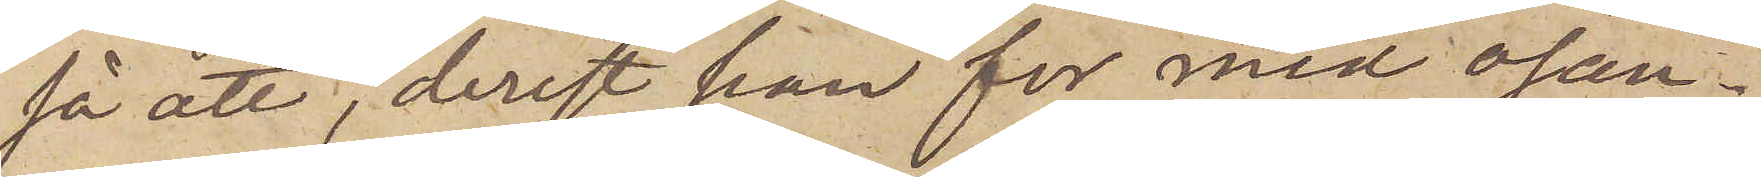så att, derest han for med osan¬
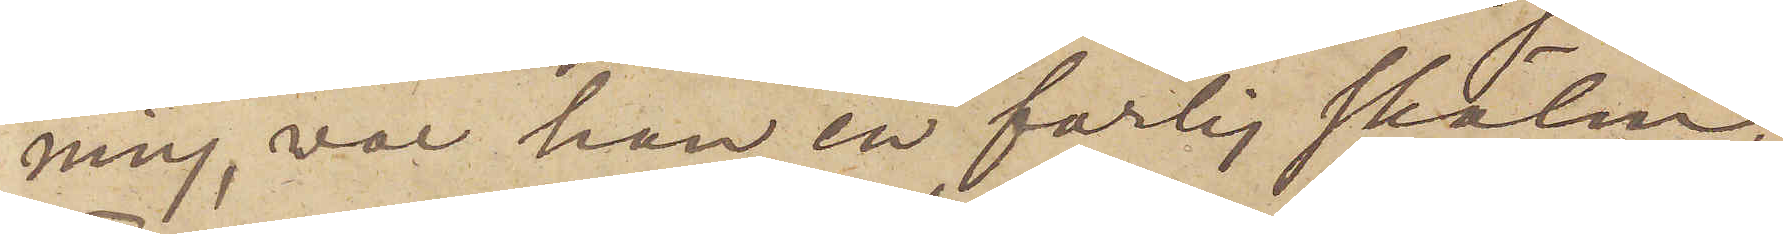ning, var han en farlig skälm.
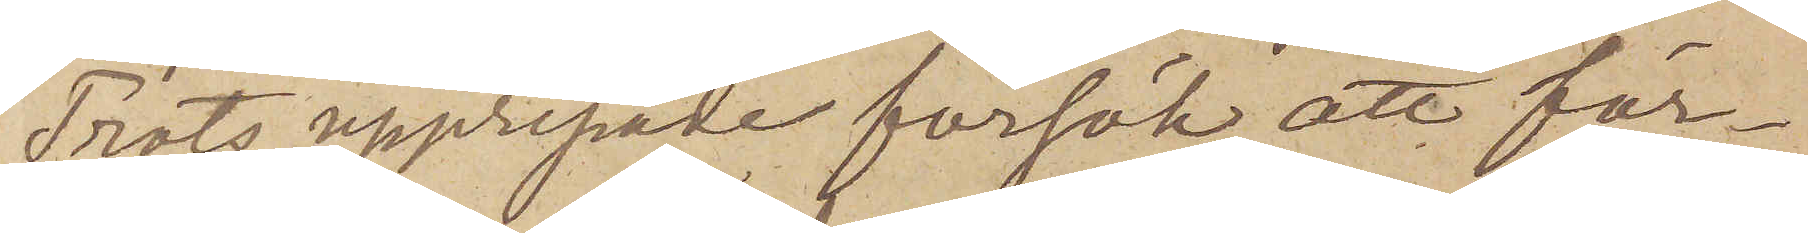Trots upprepade försök att för¬
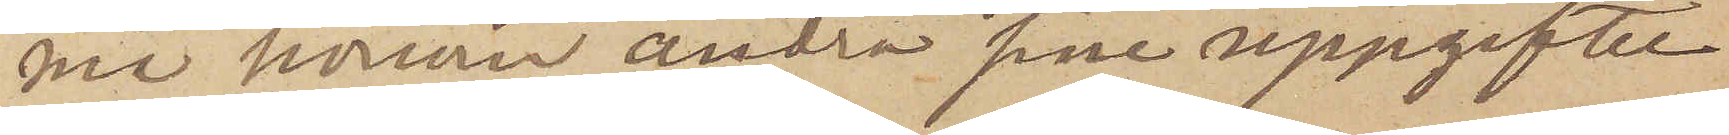må honom ändra sine uppgifter
